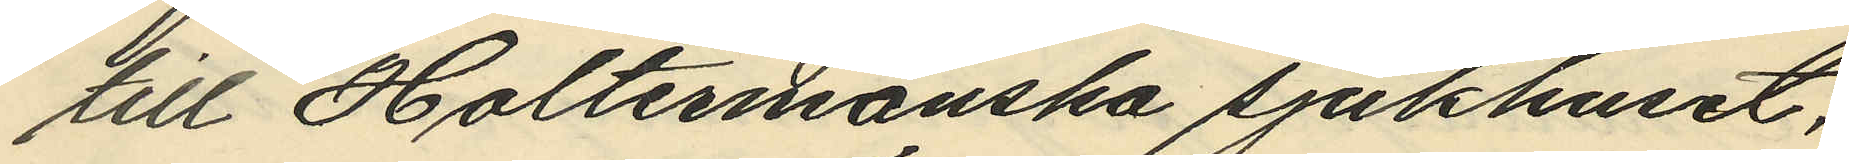till Holtermanska sjukhuset,
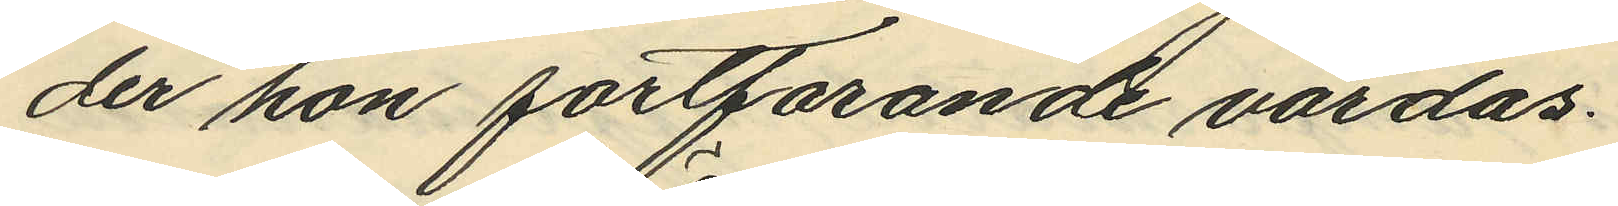der hon fortfarande vårdas.
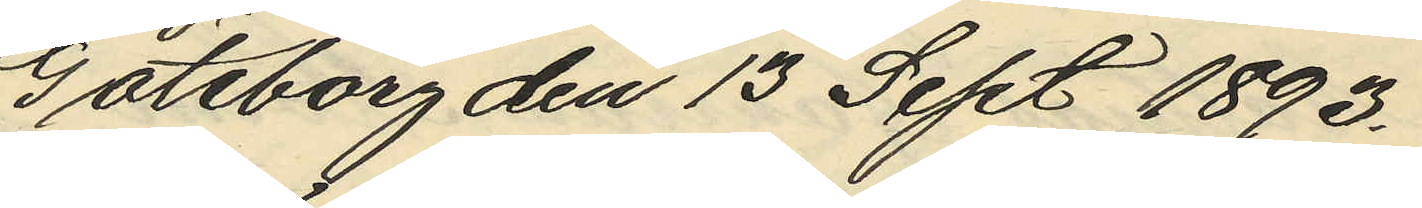Göteborg den 13 Sept 1893.
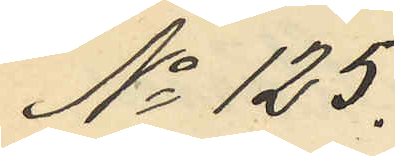No 125.
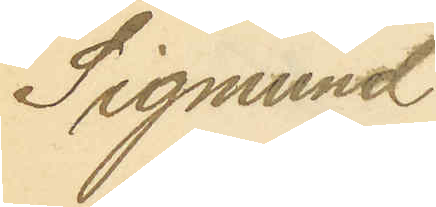Sigmund
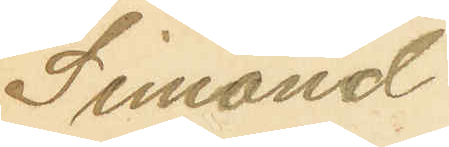Simond
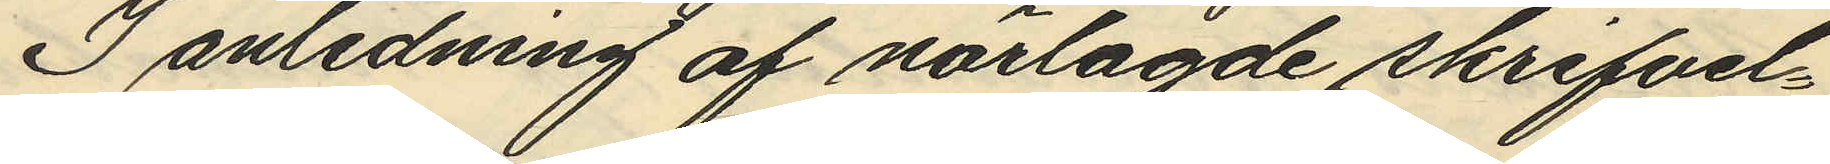I anledning af närlagde skrifvel¬
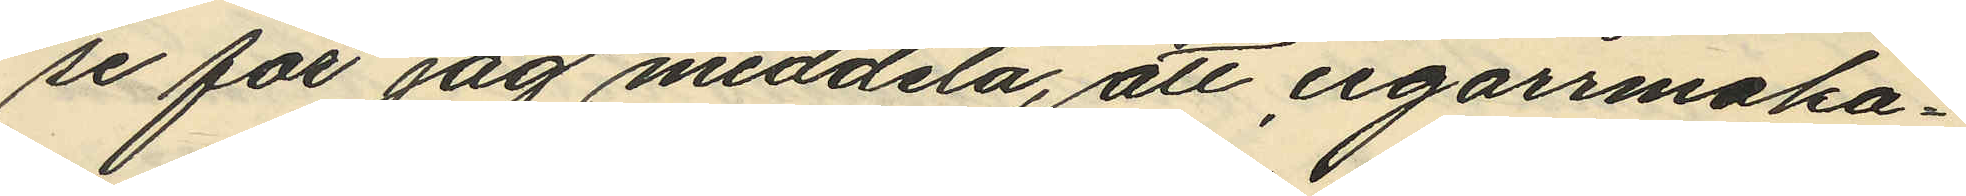se får jag meddela, att cigarrmaka¬
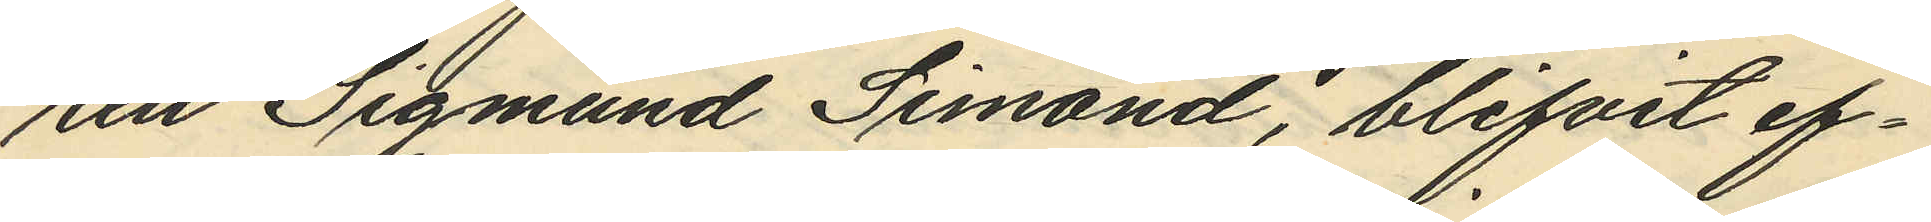ren Sigmund Simond, blifvit ef¬
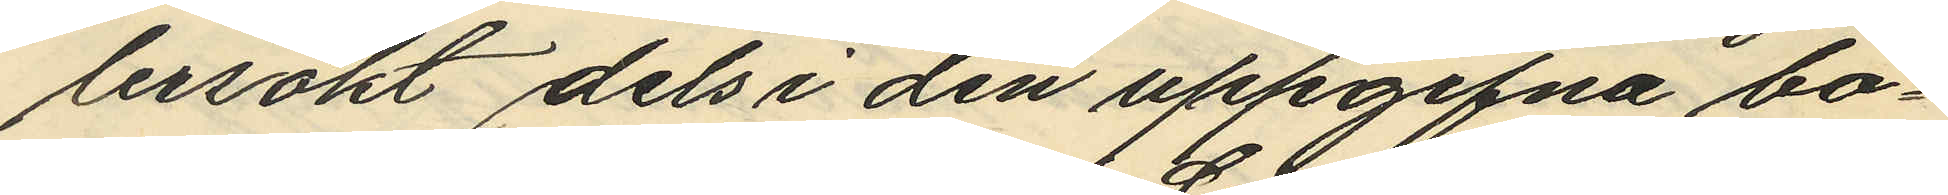tersökt dels i den uppgifna bo¬
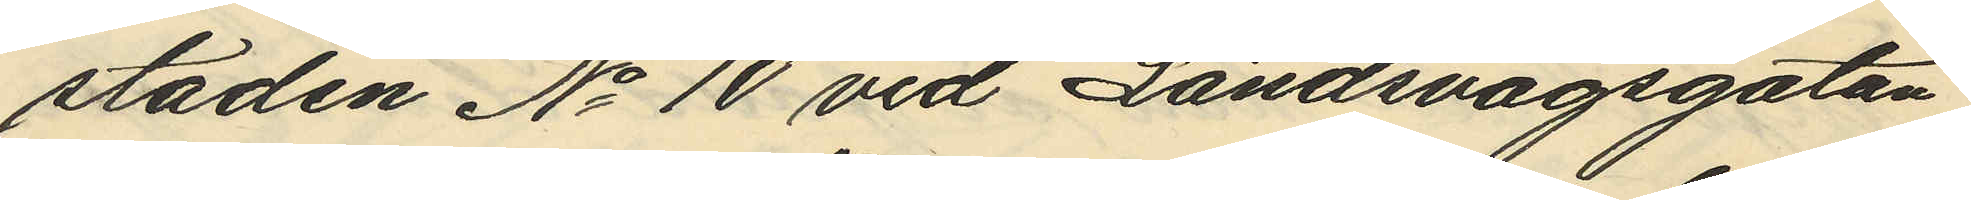staden No 10 vid Landsvägsgatan
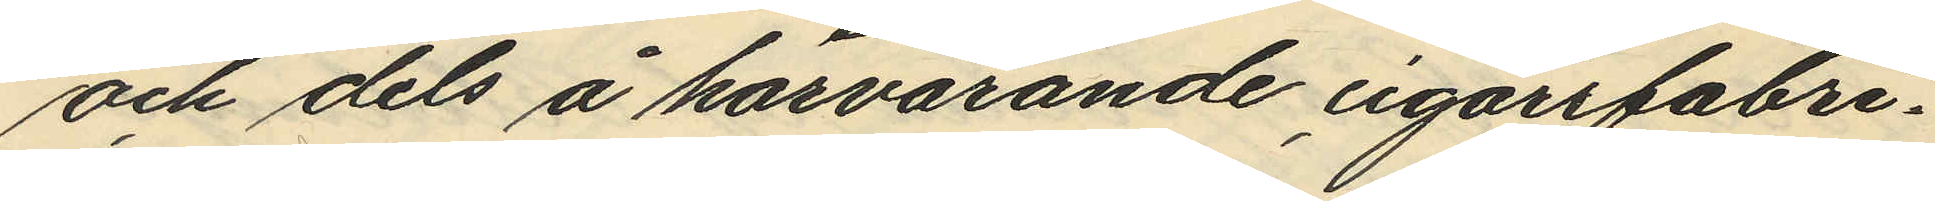och dels å härvarande cigarrfabri¬
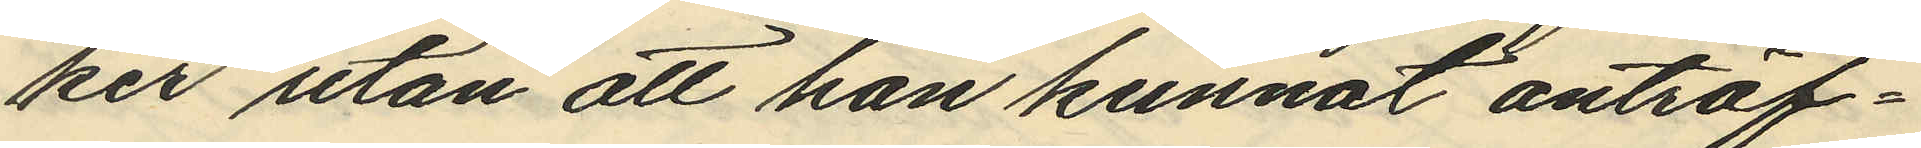ker utan att han kunnat anträf¬
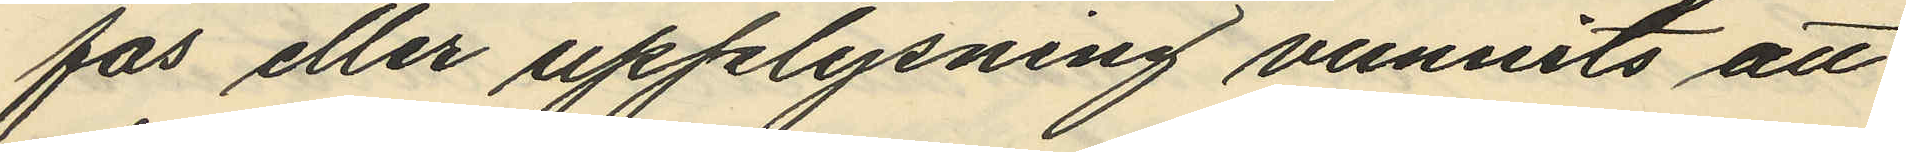fas eller upplysning vunnits att
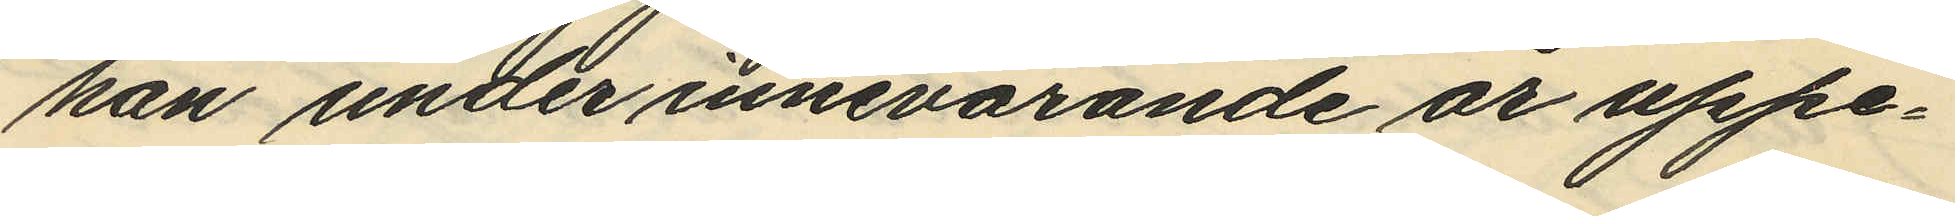han undter innevarande år uppe¬
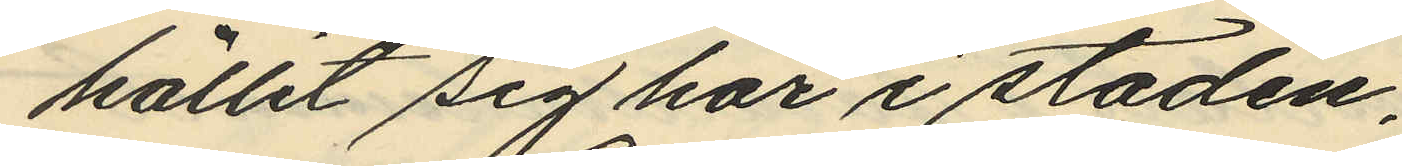hållit sig här i staden.
